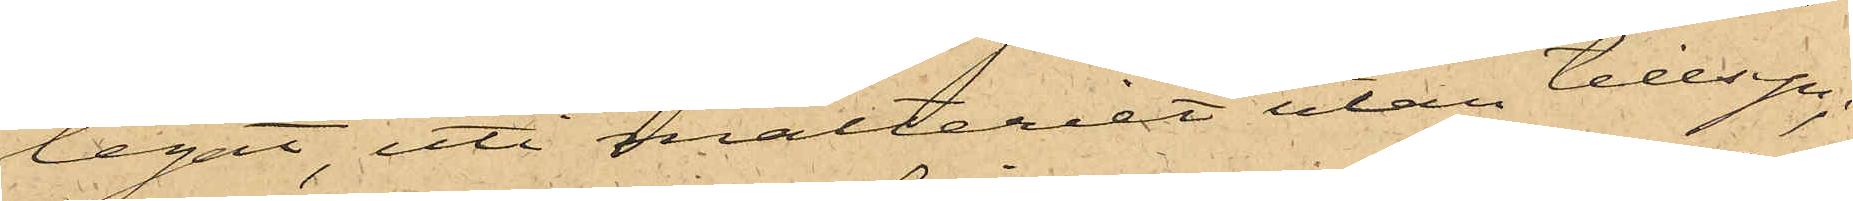legat, uti mälteriet utan tillsyn;
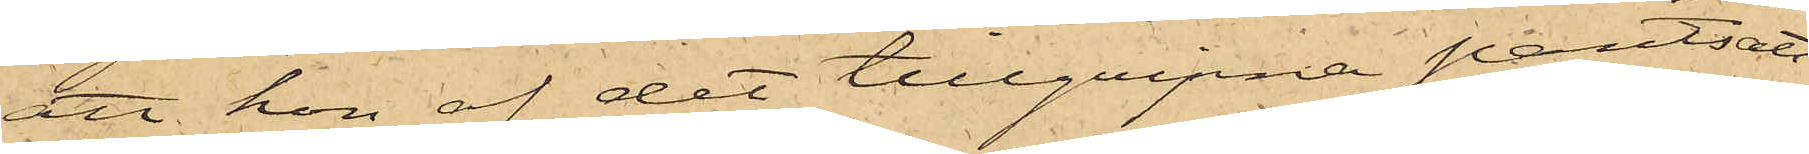att hon af det tillgripne pantsatt
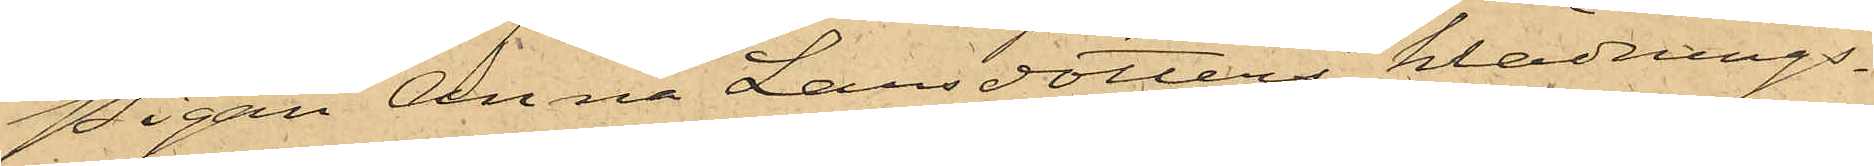Pigan Anna Larsdotters klädnings¬
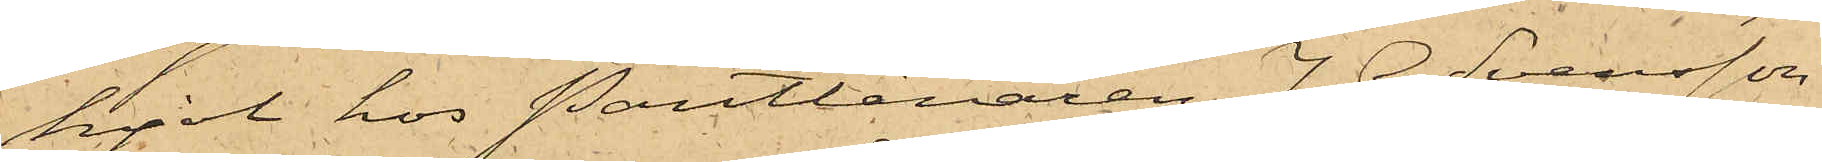kjol hos Pantlånaren J. G. Svensson
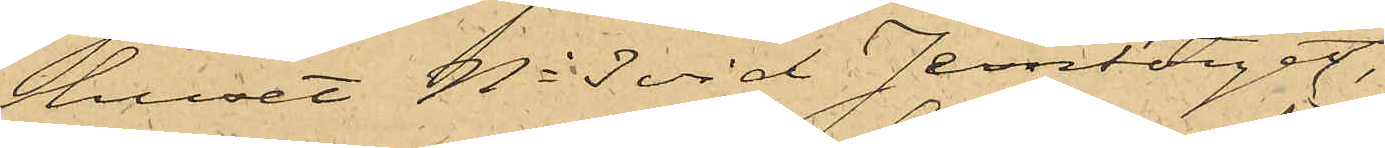huset No 3 vid Jerntorget,
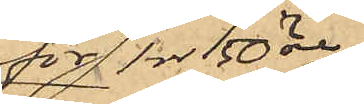 för 1 rdr 50 öre,
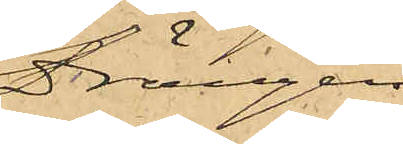Drängen
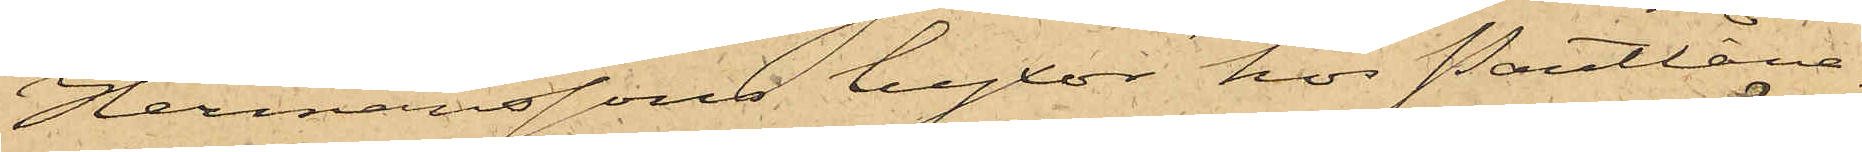Hermanssons byxor hos Pantlåna¬
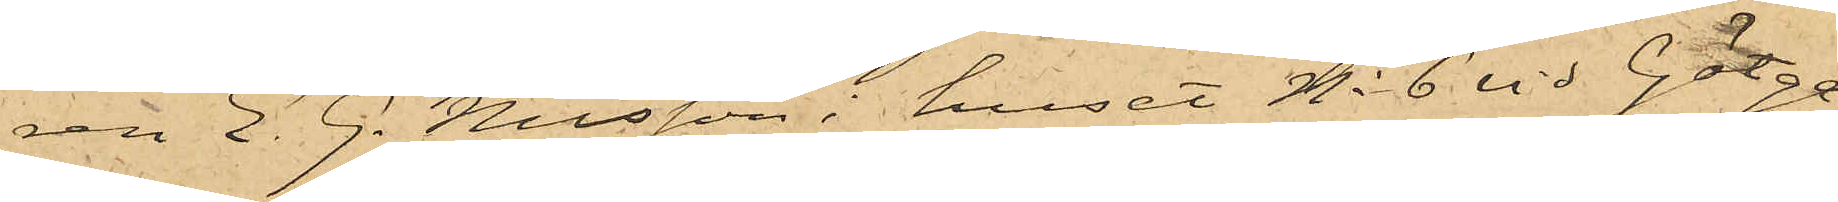ren E. G. Nilsson i huset No 6 vid Götga¬
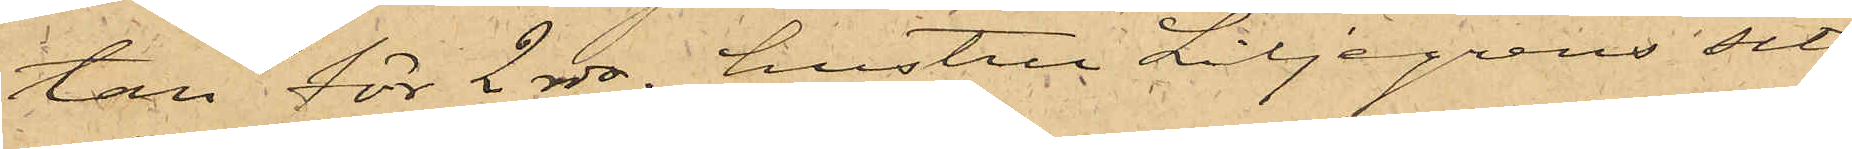tan för 2 rdr, hustru Liljegrens sits¬
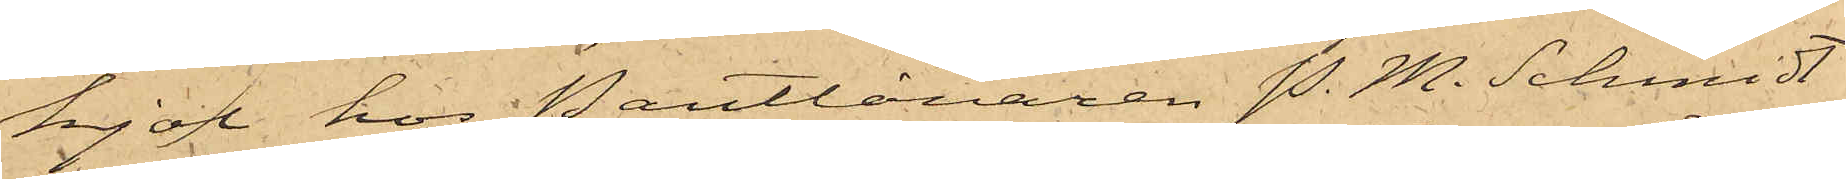kjol hos Pantlånaren P. M. Schmidt
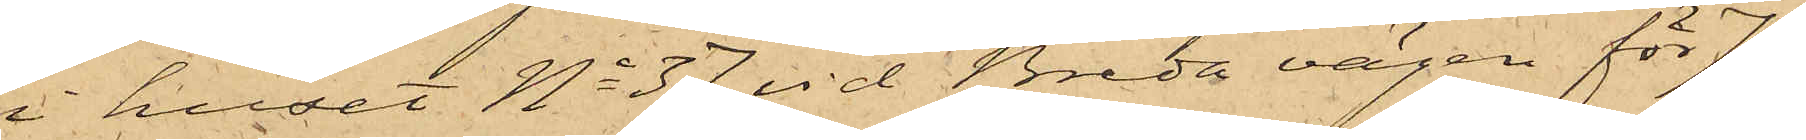i huset No 37 vid Breda vägen för 75
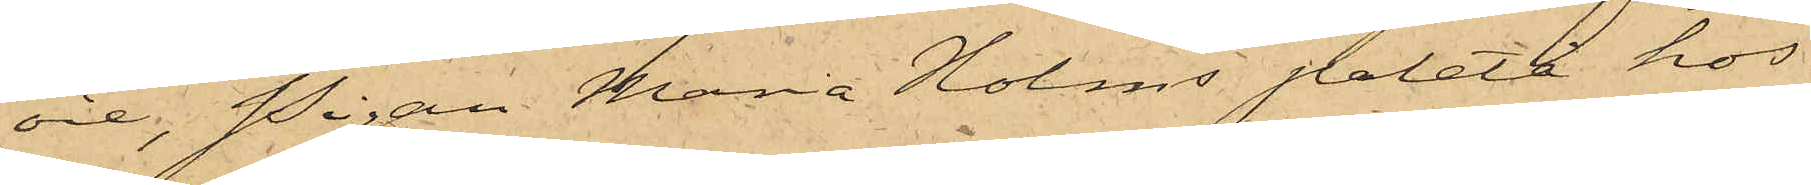öre, Pigan Maria Holms paletå hos
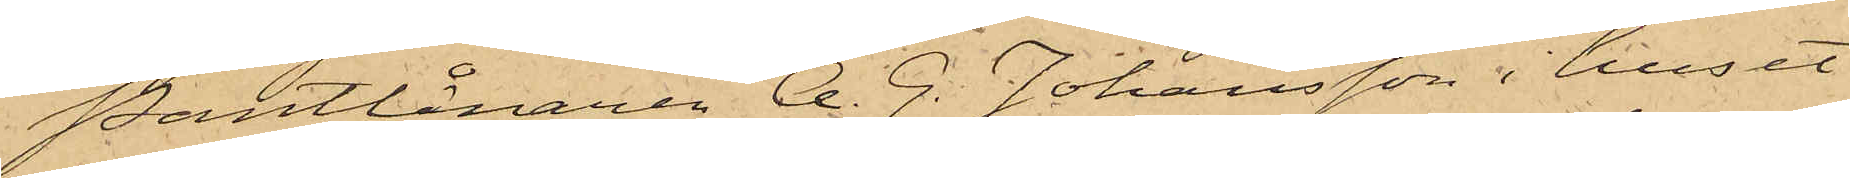Pantlånaren A. G. Johansson i huset
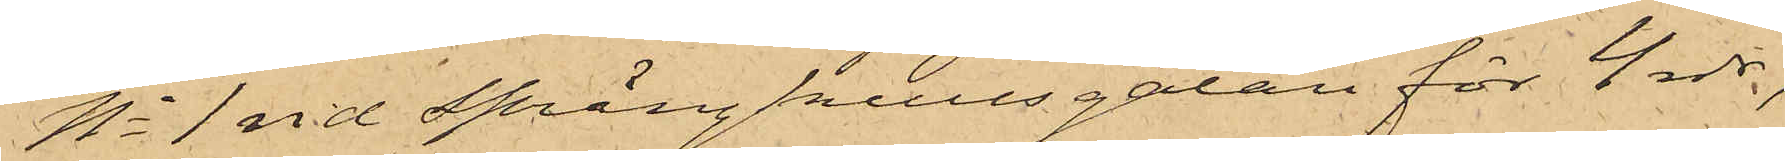No 1 vid Sprängkullsgatan för 4 rdr,
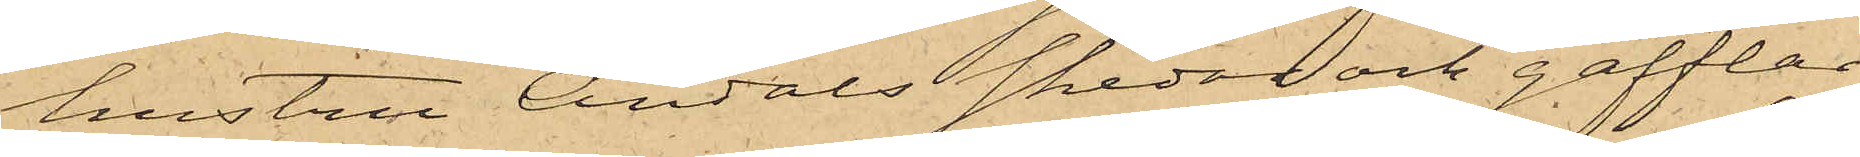hustru Andals skedar och gafflar
